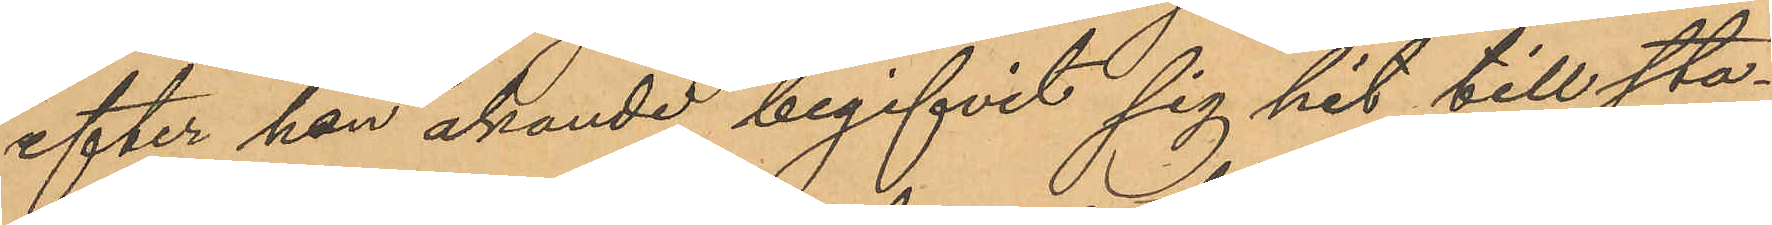efter han åkande begifvit sig hit till sta¬
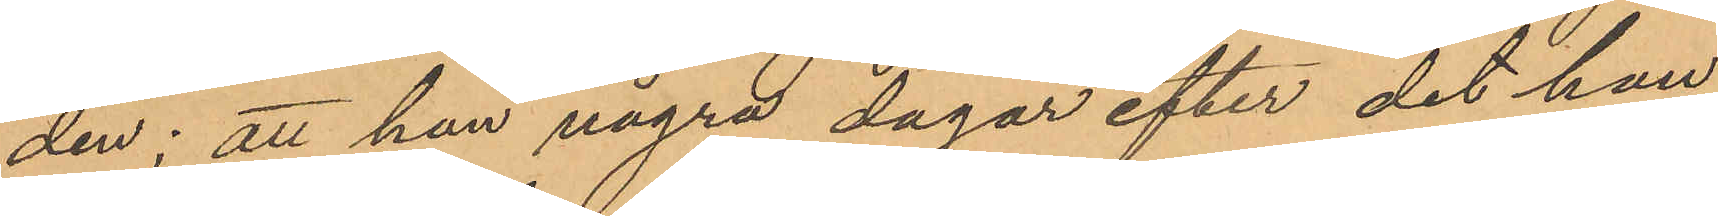den; att han några dagar efter det han
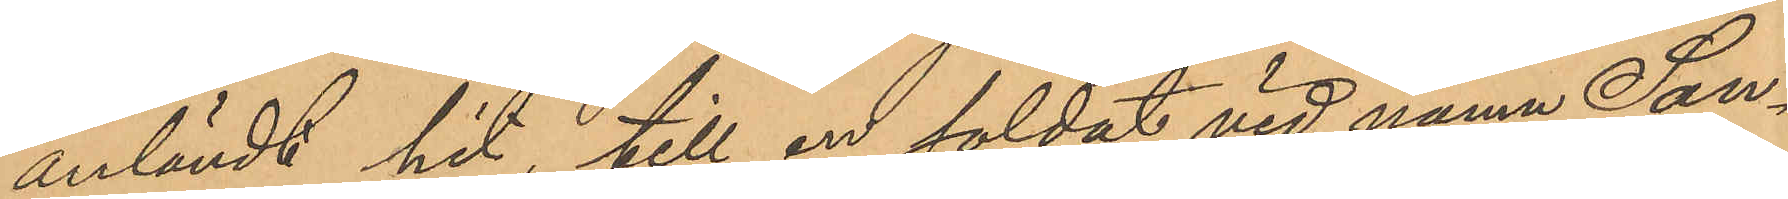anländt hit, till en soldat vid namn San¬
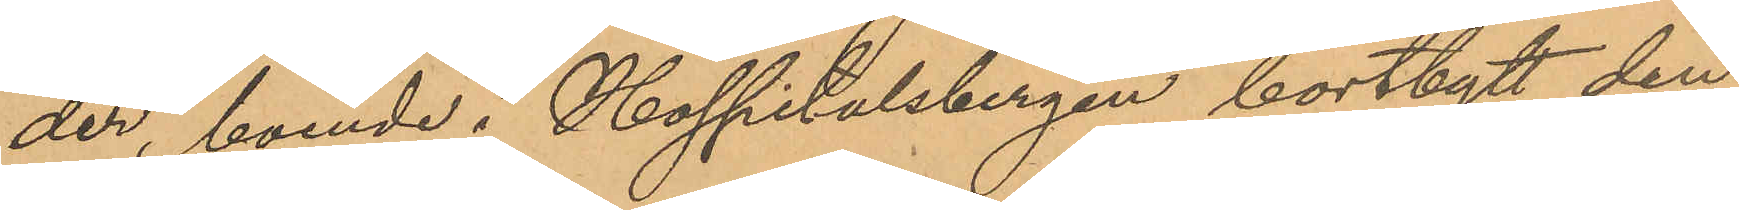der, boende i Hospitalsbergen bortbytt den
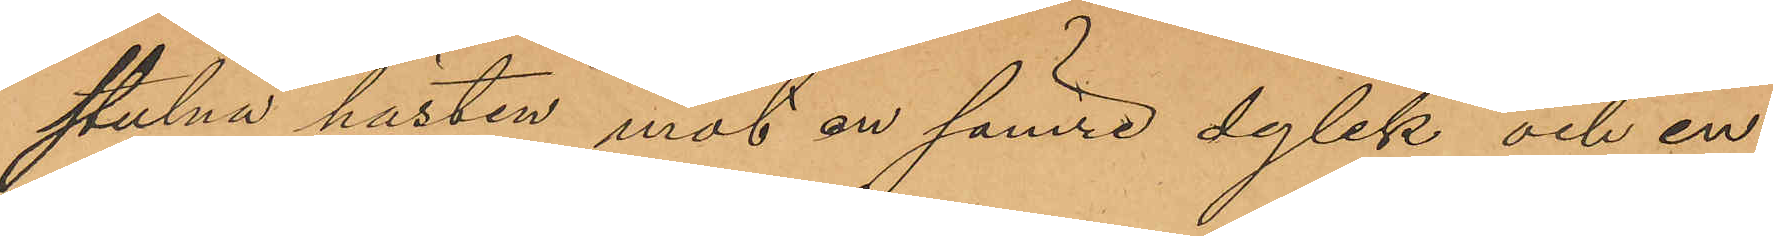stulna hästen mot en sämre dylik och en
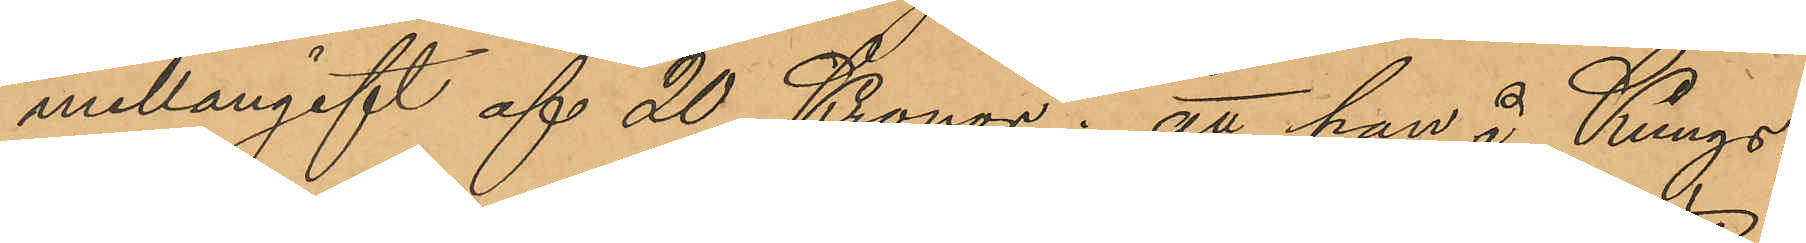mellangift af 20 Kronor; att han å Kungs¬
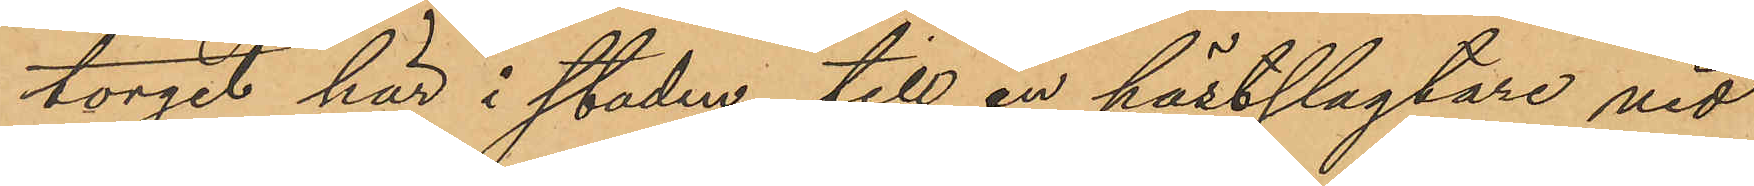torget här i staden till en hästslagtare vid
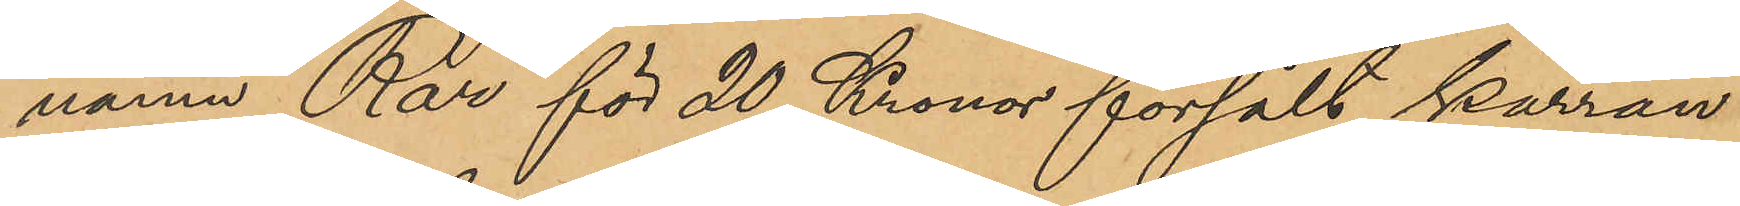namn Rar för 20 Kronor försålt kärran
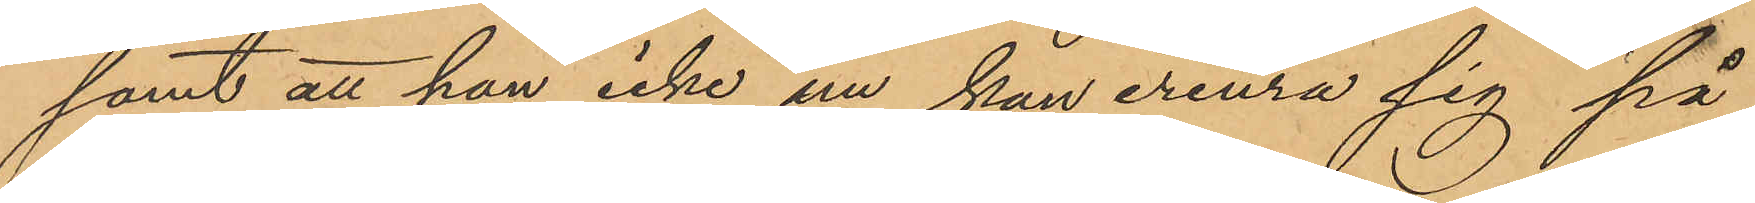samt att han icke nu kan erinra sig på
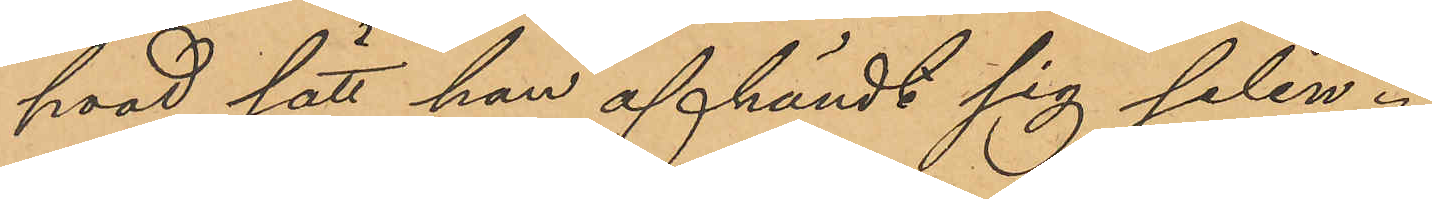hvad sätt han afhändt sig selen.
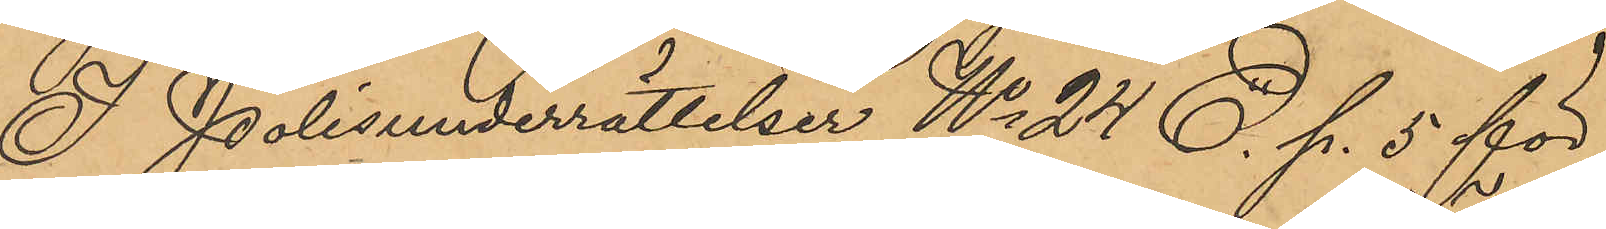I Polisunderrättelser No 24 E. p. 5 för
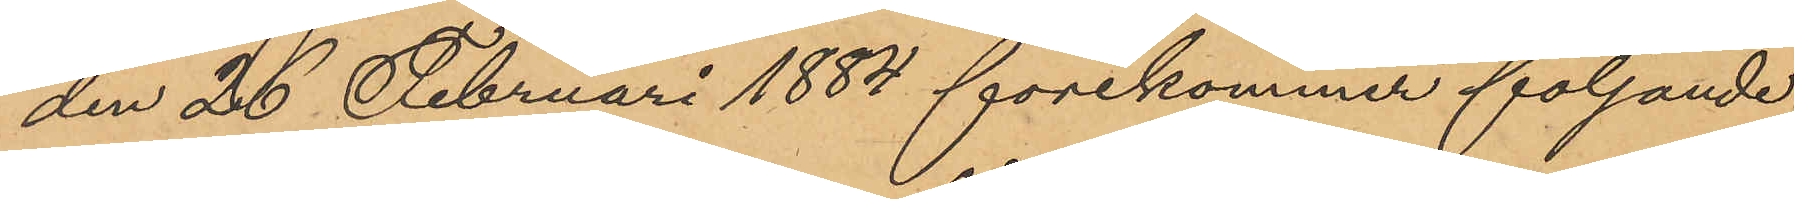den 26 Februari 1884 förekommer följande
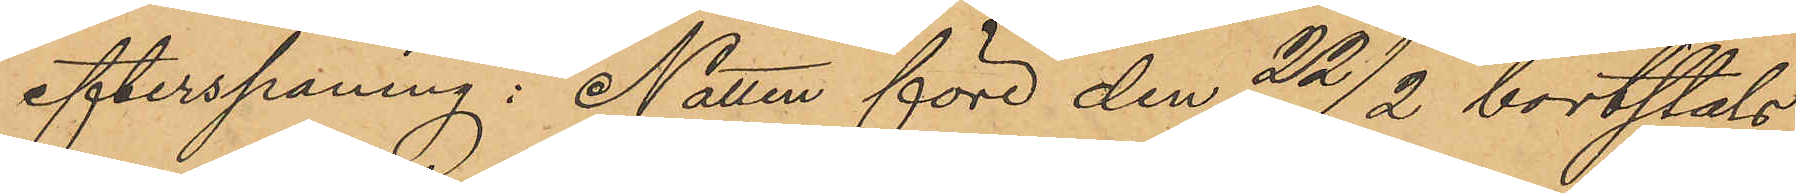efterspaning:  Natten före den 22/2 å bortstals
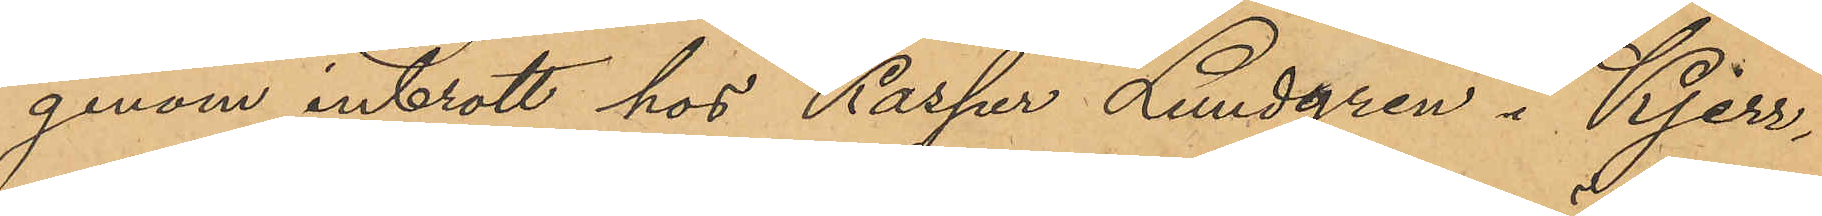genom inbrott hos Kasper Lundgren i Kjerr¬
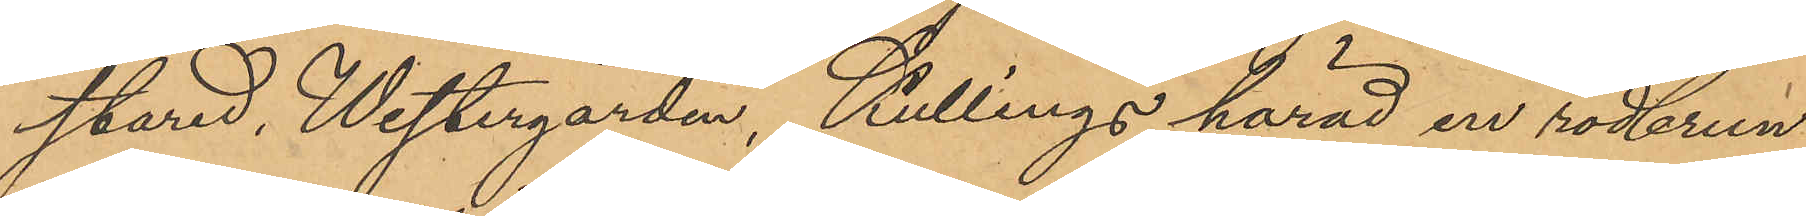stared, Westergården, Kullings härad en rödbrun
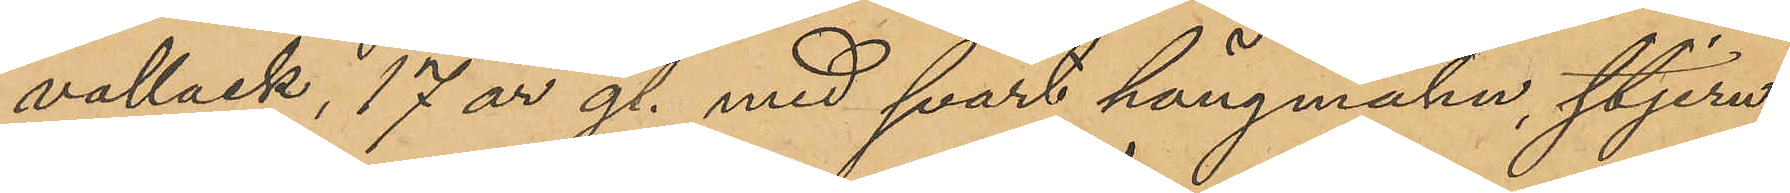vallack, 17 år gl. med svart hängmahn, stjern,
